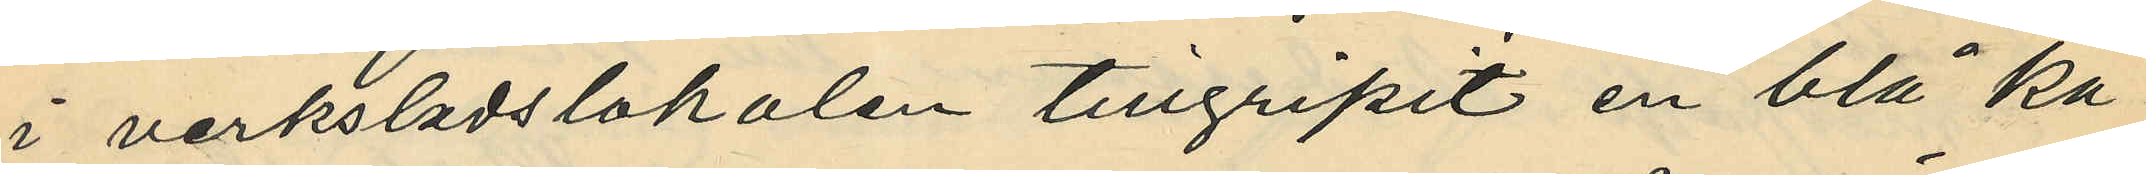i verksladslokalen tillgripit en blå ka¬
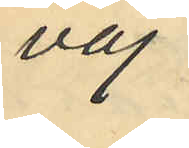vaj,
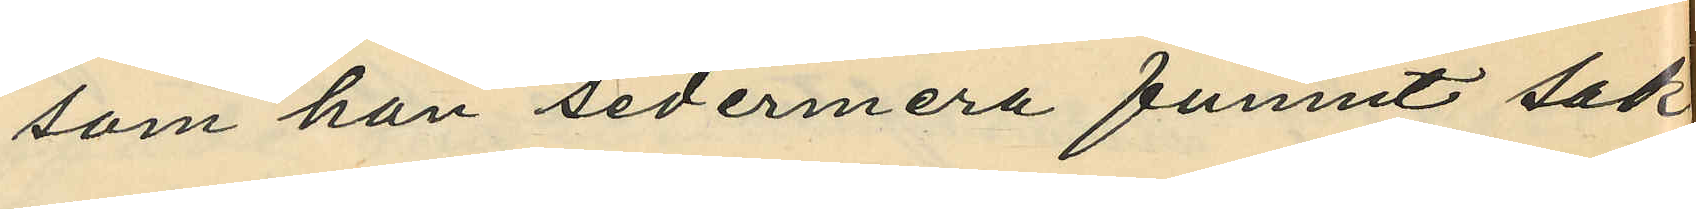som han sedermera funnit sak¬
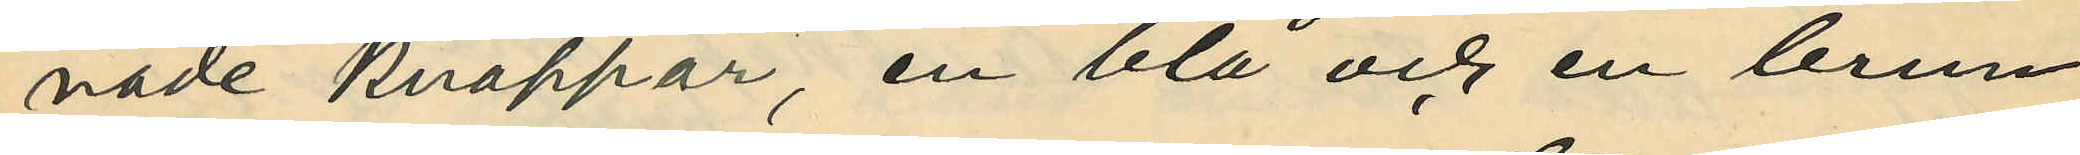nade knappar, en blå och en brun
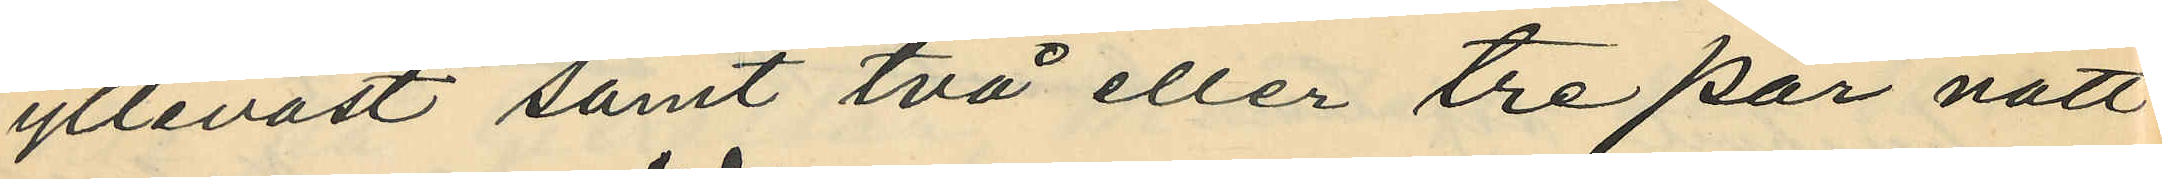ylleväst samt två eller tre par natt¬
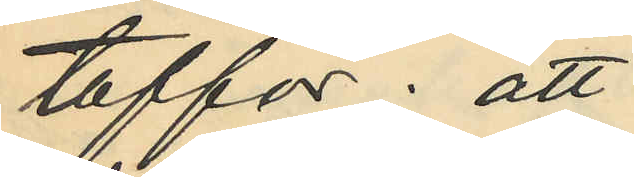toffor; att
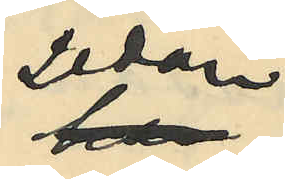sedan
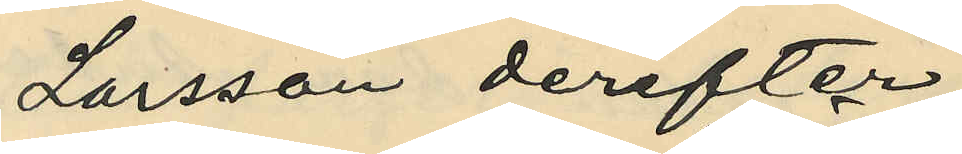Larsson derefter
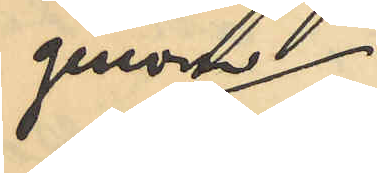genom
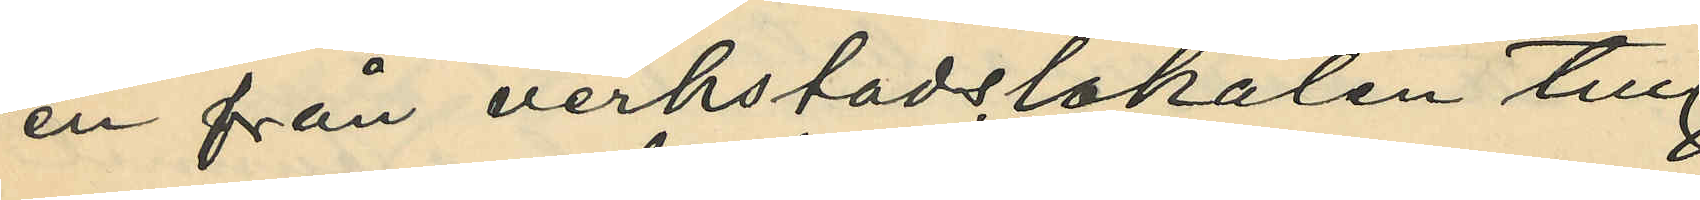en från verkstadslokalen till
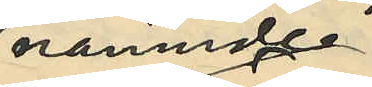nämnde
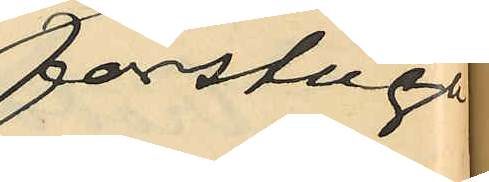förstuga
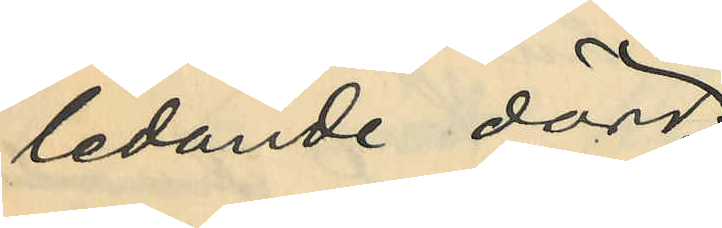ledande dörr,
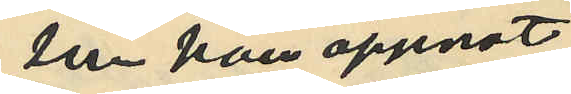som han öppnat,
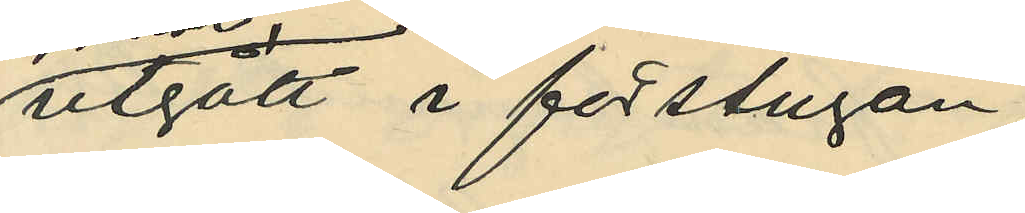utgått i förstugan,
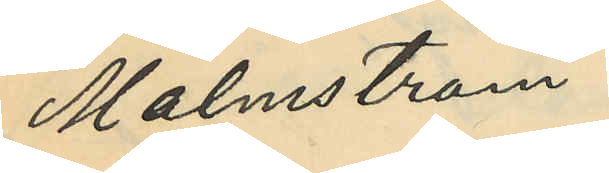Malmström
